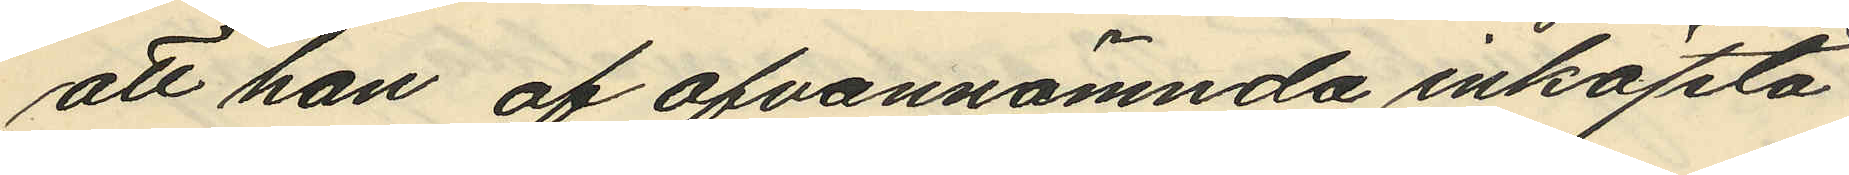att han af ofvannämnda inköpta
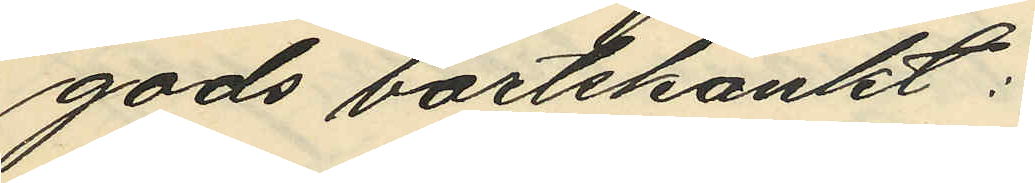gods bortskänkt:
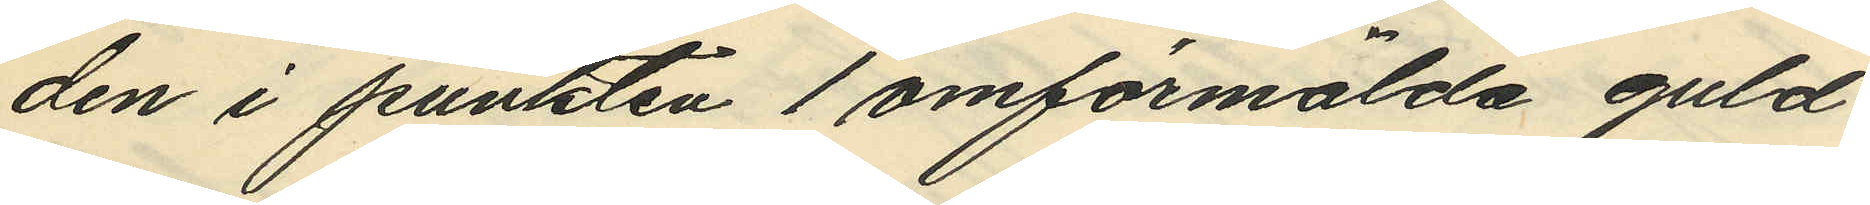den i punkten 1 omförmälda guld¬
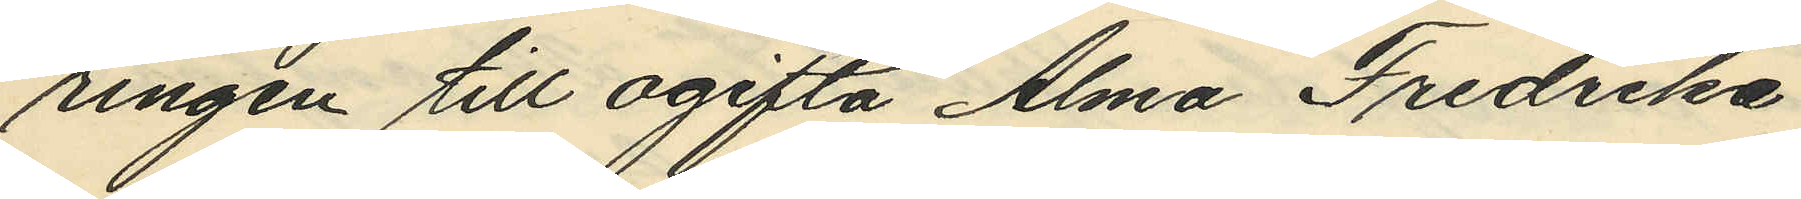ringen till ogifta Alma Fredrika
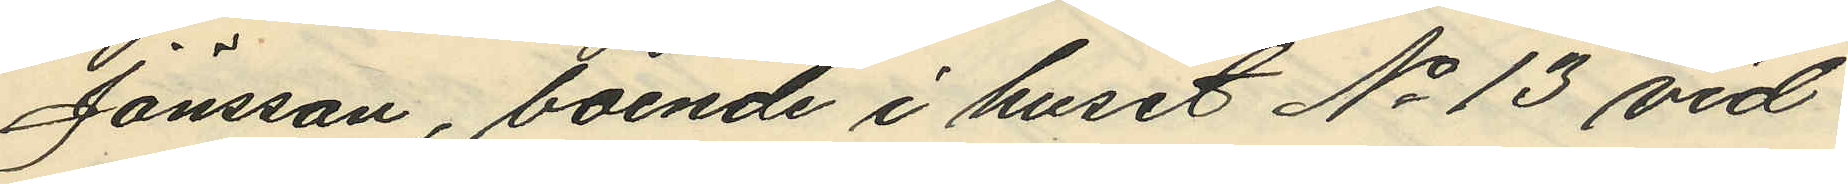Jönsson, boende i huset No 13 vid
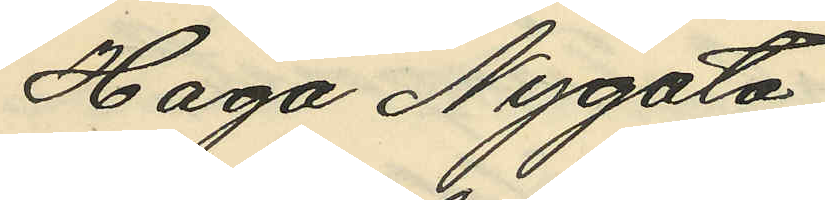Haga Nygata,
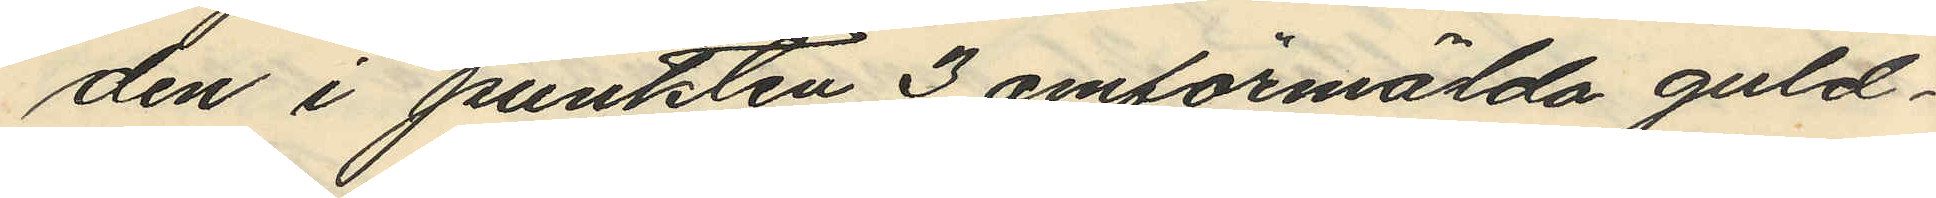den i punkten 3 omförmälda guld¬
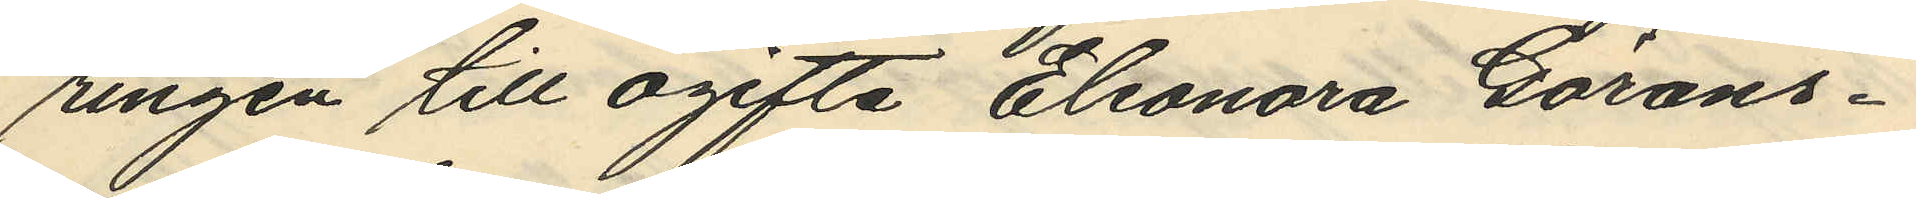ringen till ogifta Eleonora Görans¬
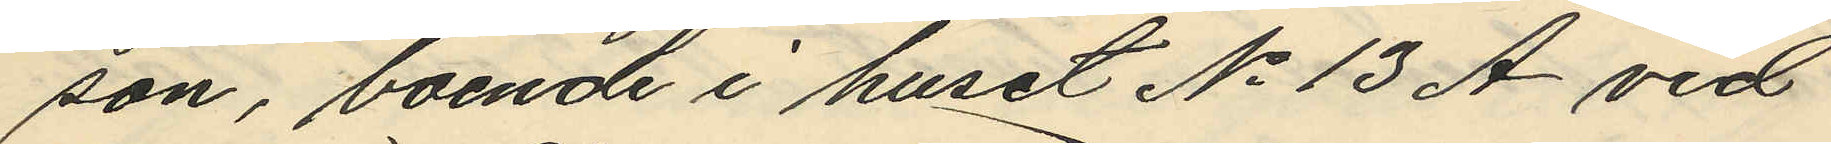son, boende i huset No 13 A vid
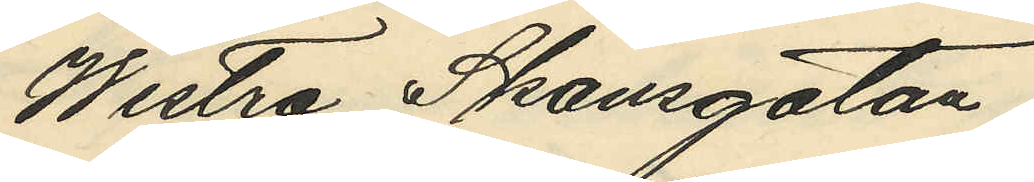Westra Skansgatan;
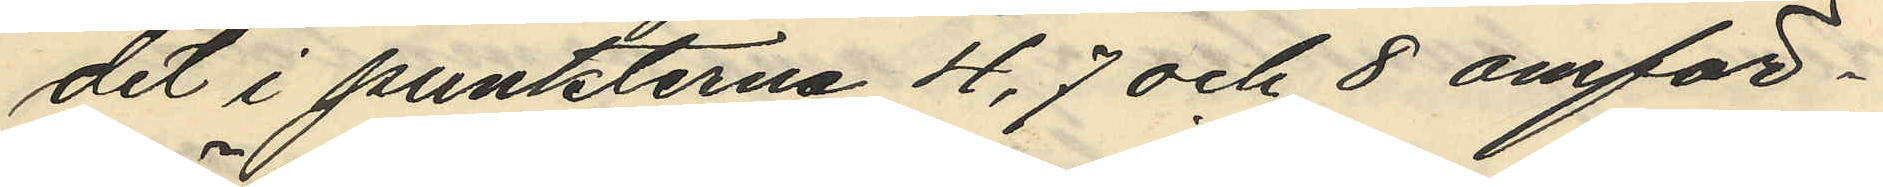det i punkterna 4, 7 och 8 omför¬
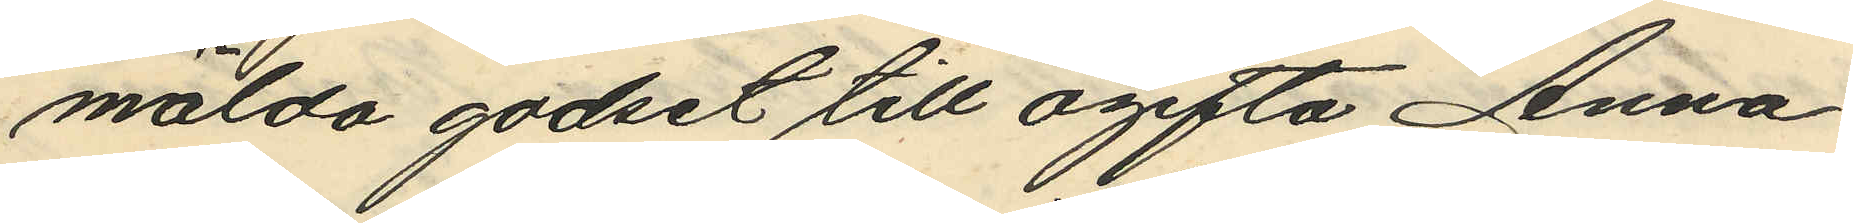mälda godset till ogifta Anna
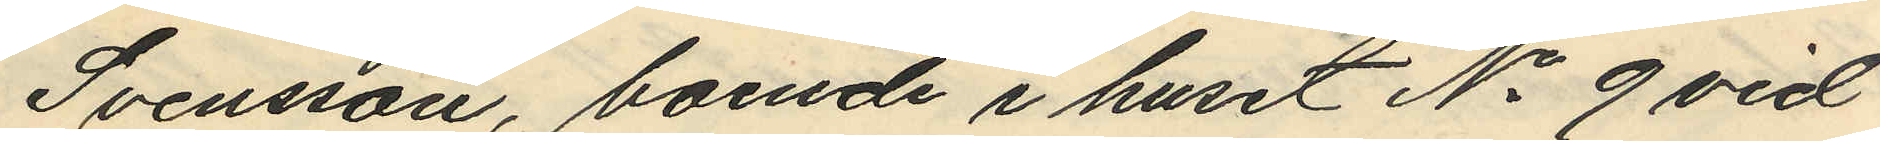Svensson, boende i huset No 9 vid
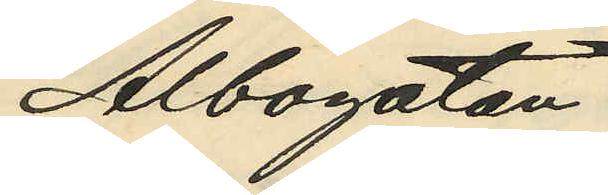Albogatan;
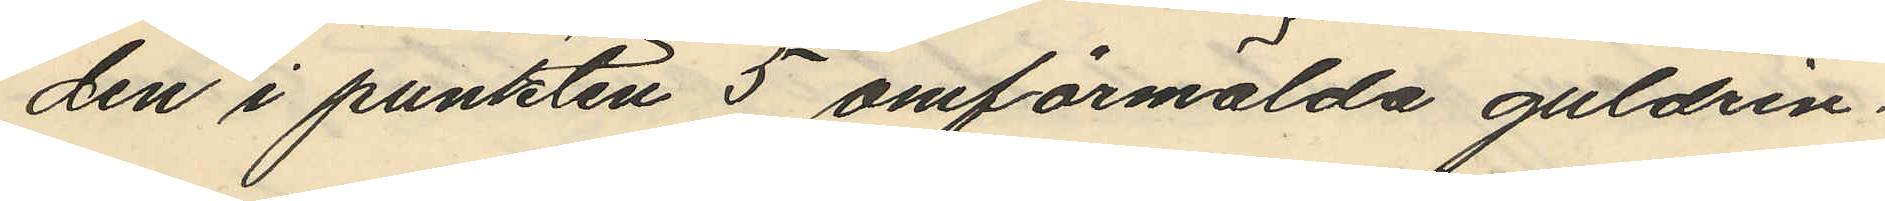den i punkten 5 omförmälda guldrin¬
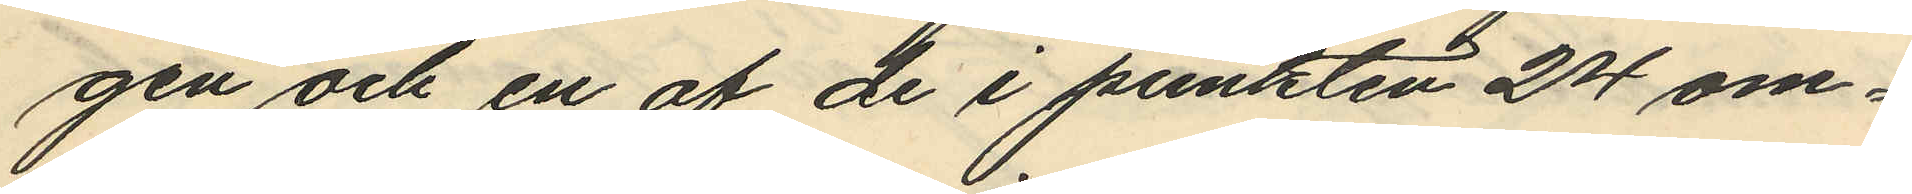gen och en af de i punkten 24 om¬
